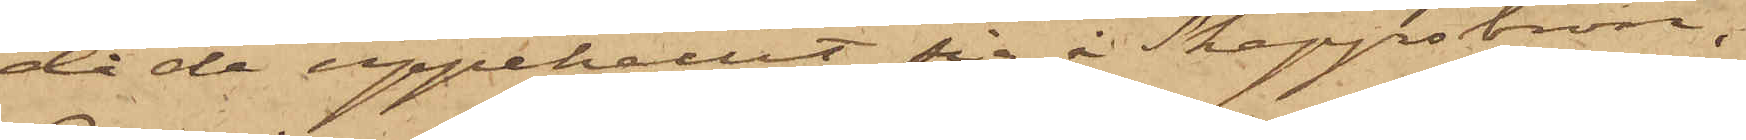då de uppehållit sig i Skeppsbron,
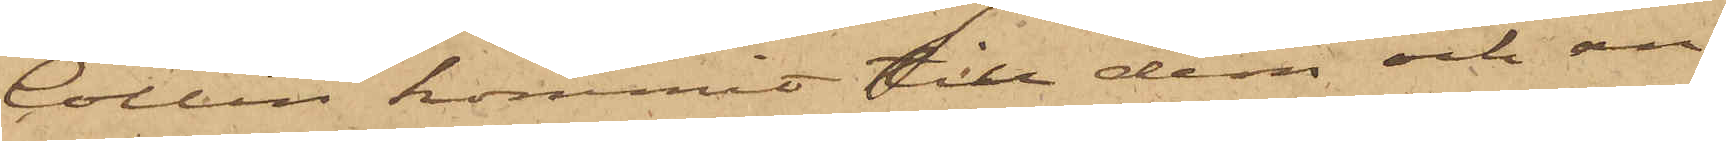Collin kommit till dem och an¬
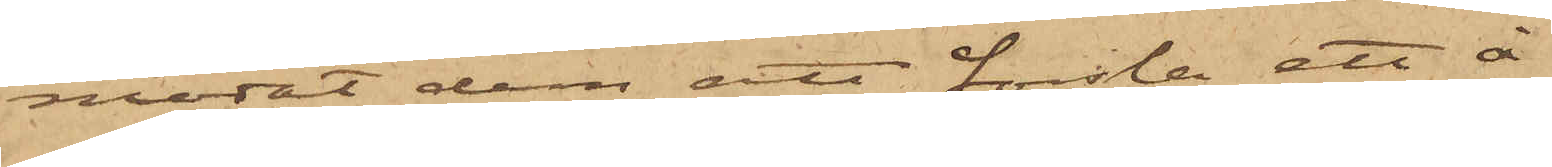modat dem att forsla ett å
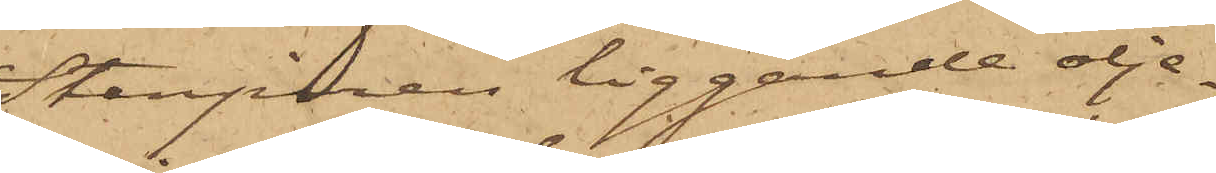Stenpiren liggande olje¬
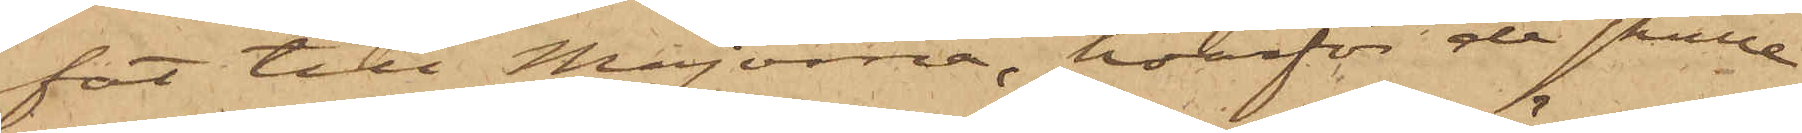fat till Majorna, hvarför de skulle
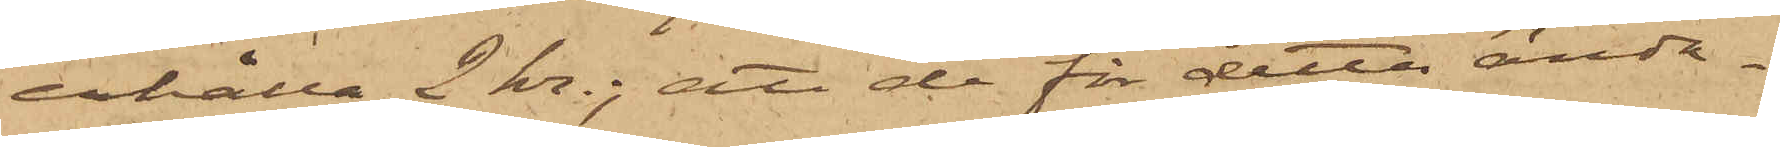erhålla 2 kr.; att de för detta ända¬
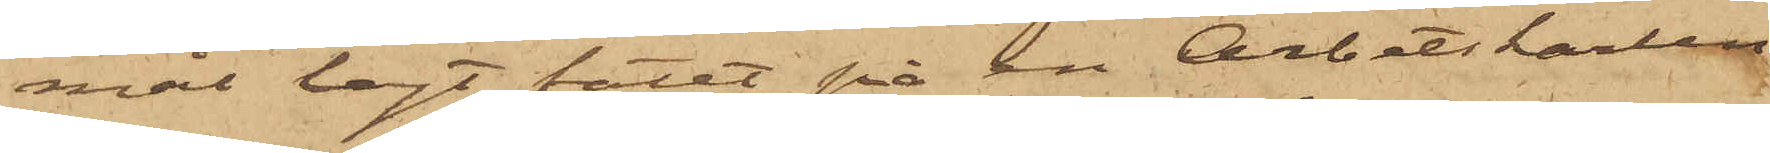mål lagt fatet på en Arbetskarlen
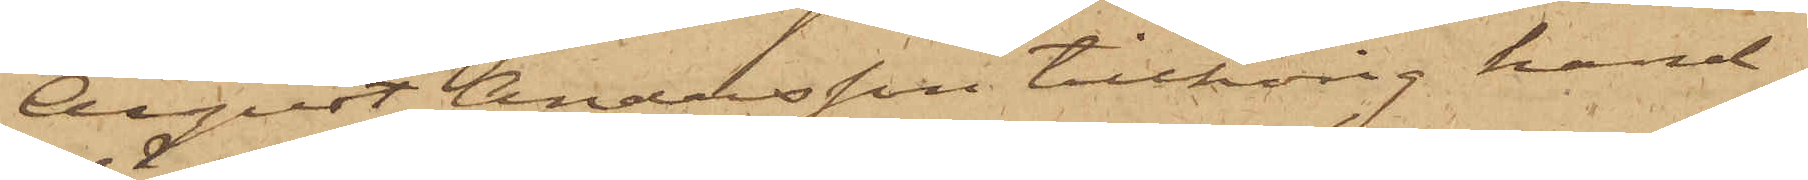August Andersson tillhörig hand¬
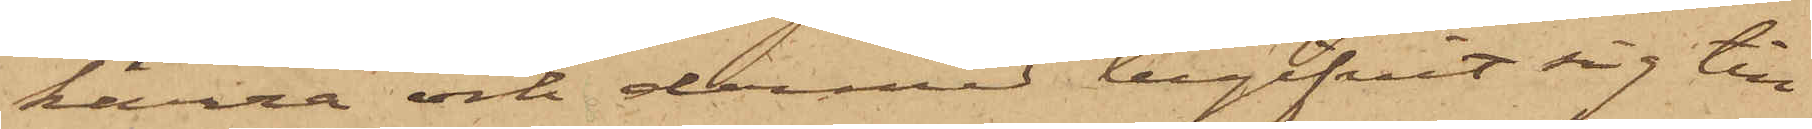kärra och dermed begifvit sig till
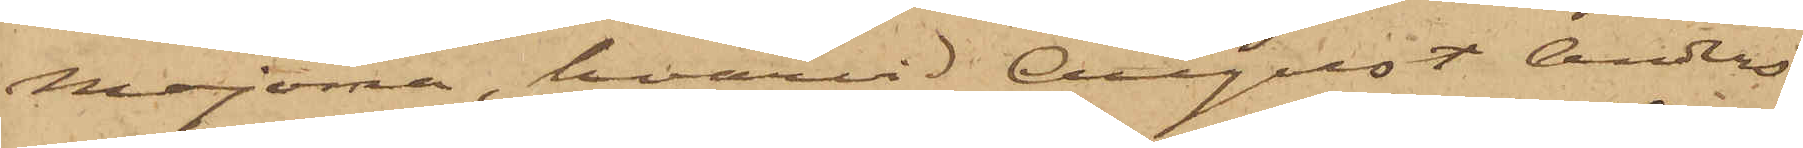Majorna, hvarvid August Anders¬
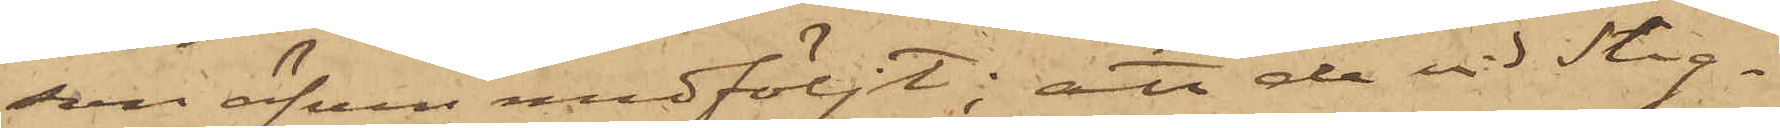son äfven medföljt; att de vid Stig¬
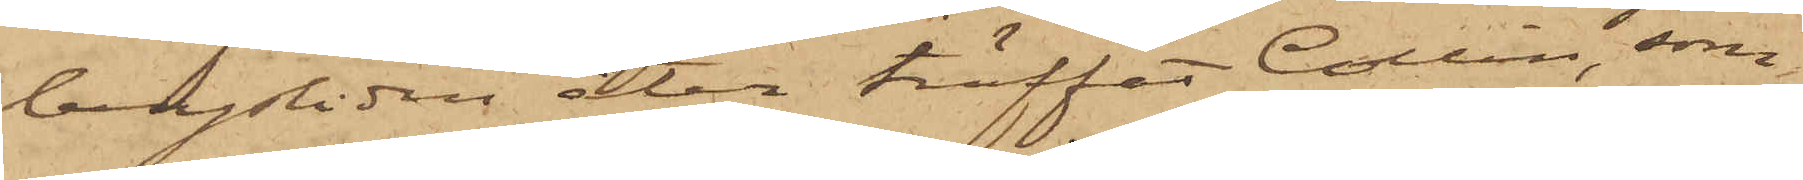bergsliden åter träffat Collin, som
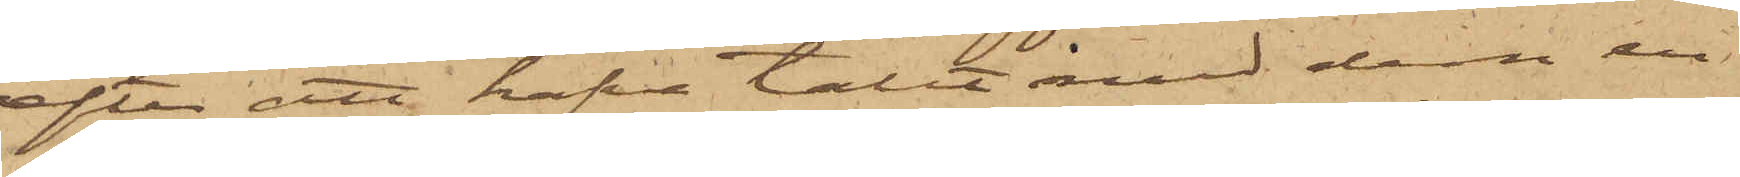efter att hafva talat med dem en
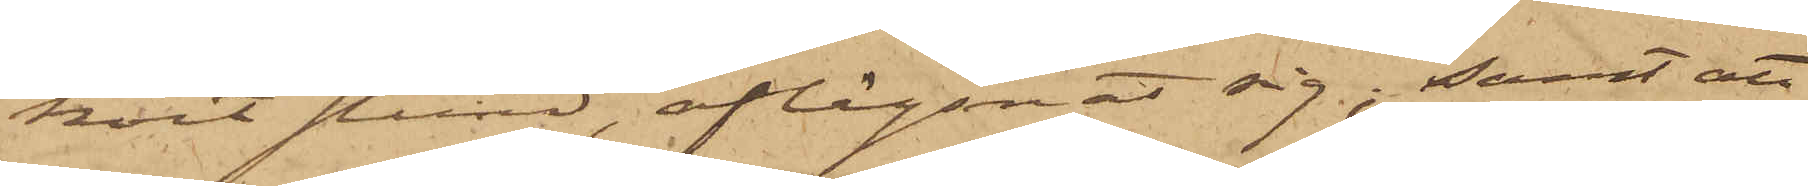kort stund, aflägsnat sig; samt att
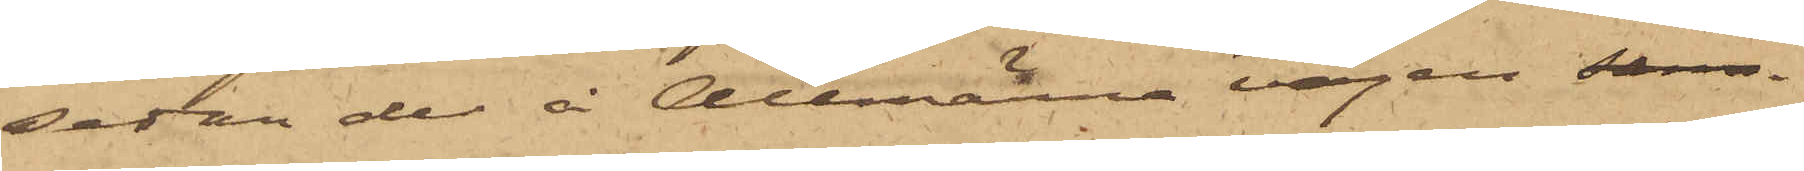sedan de å Allmänna vägen sam¬
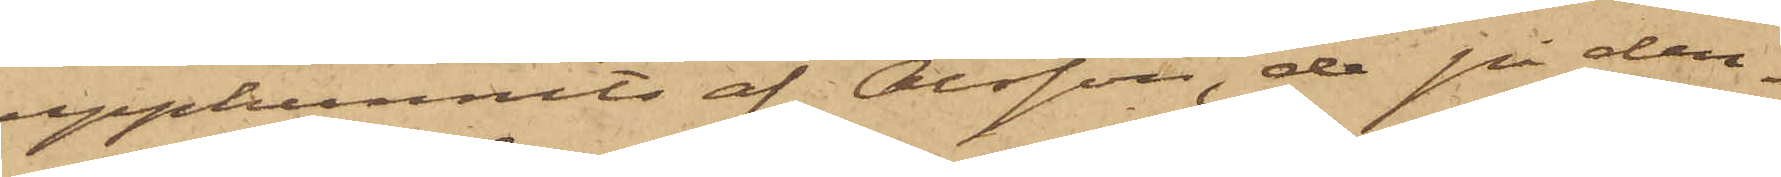upphunnits af Olsson, de på den¬
